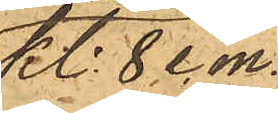Kl. 8 e. m.
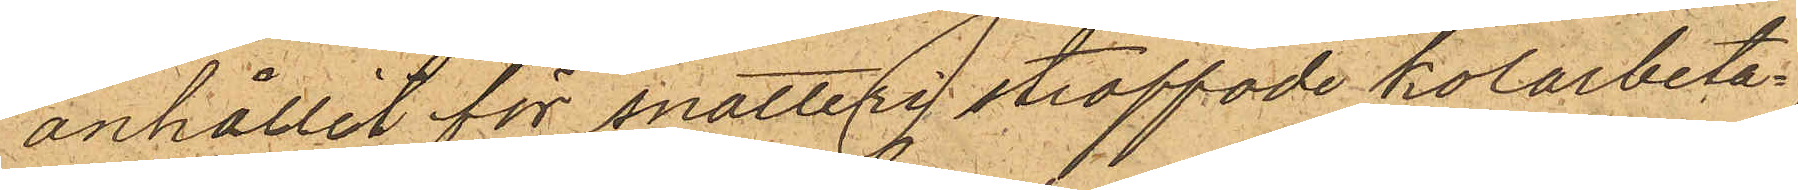anhållit för snatteri straffade kolarbeta¬
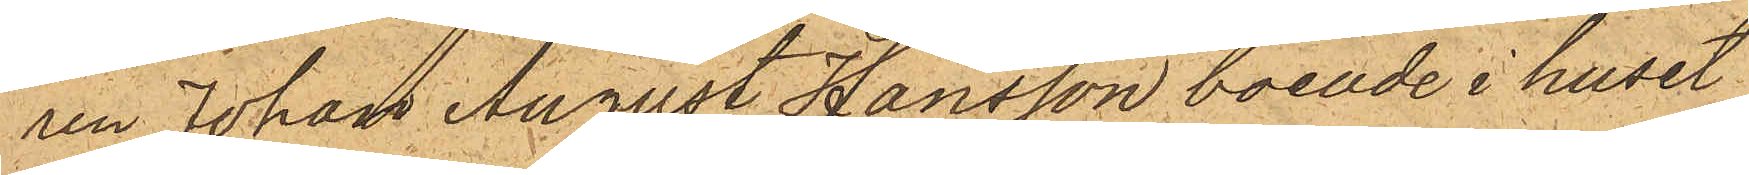ren Johan August Hansson boende i huset
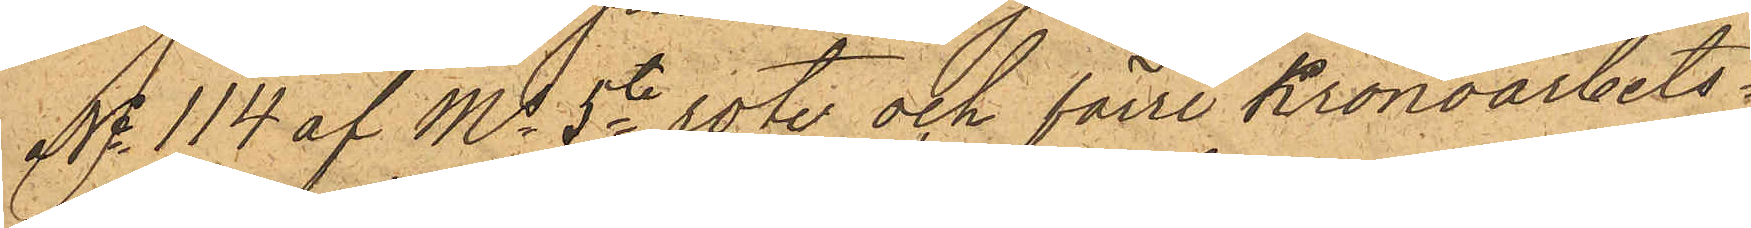No 114 af Ms 5te rote och förre Kronoarbets¬
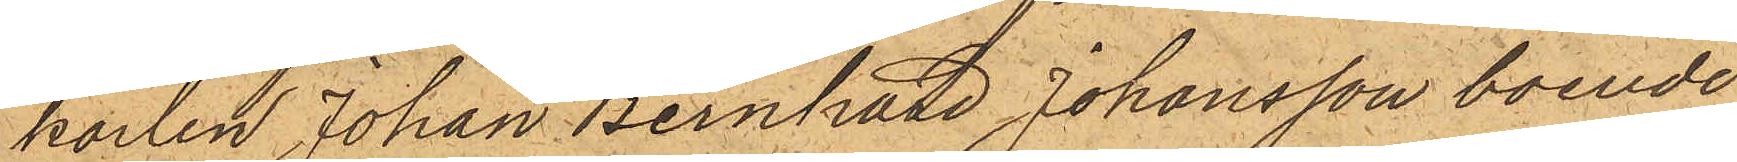karlen Johan Bernhard Johansson boende
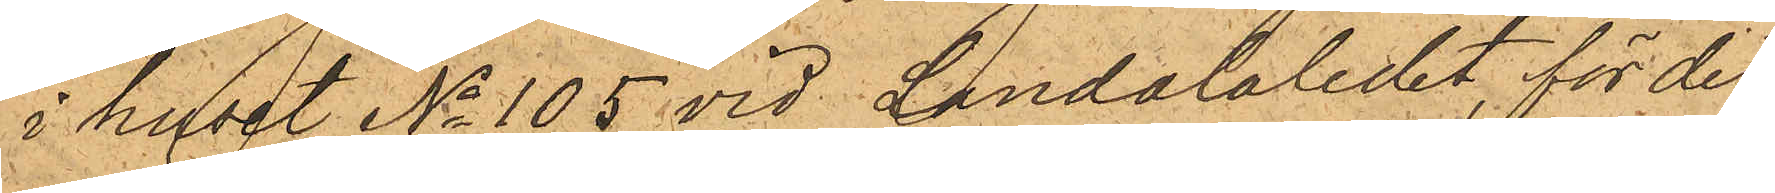i huset No 105 vid Landalaledet, för det
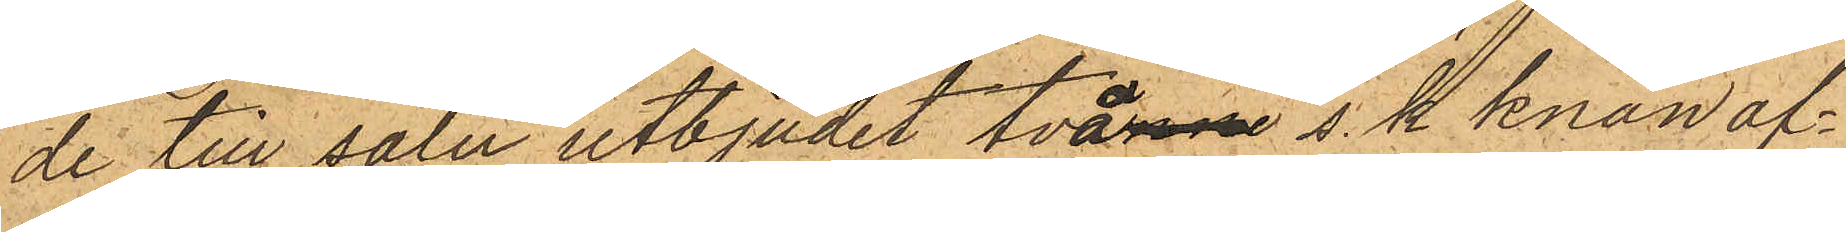de till salu utbjudit två rne s. k. knän af¬
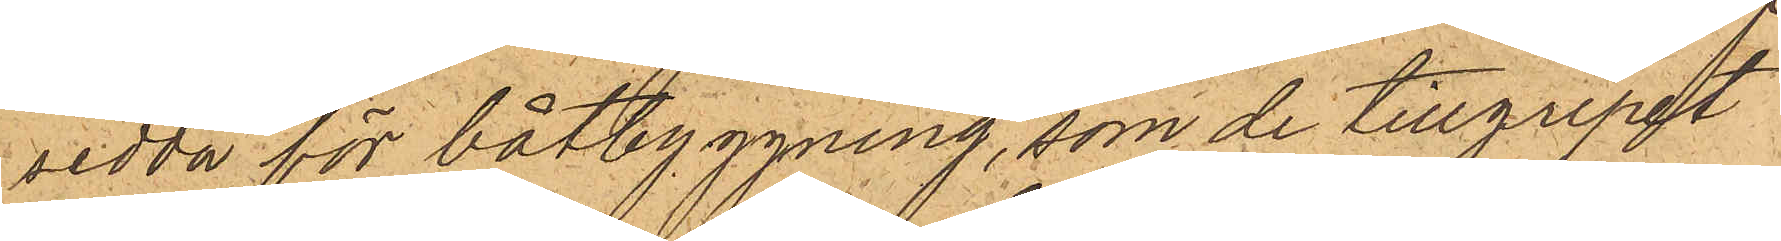sedda för båtbyggning, som de tillgripit
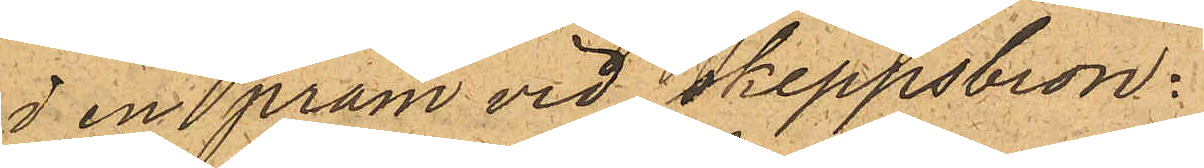i en pråm vid Skeppsbron.
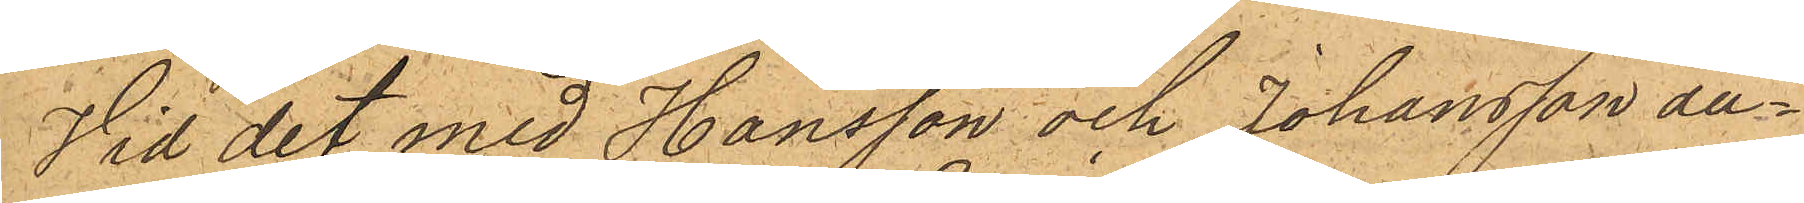Vid det med Hansson och Johansson an¬
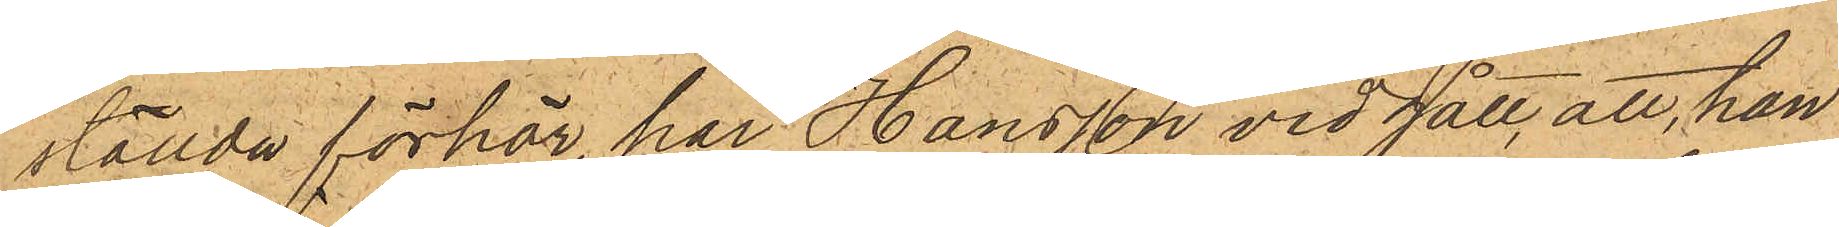ställda förhör, har Hansson vidgått, att han
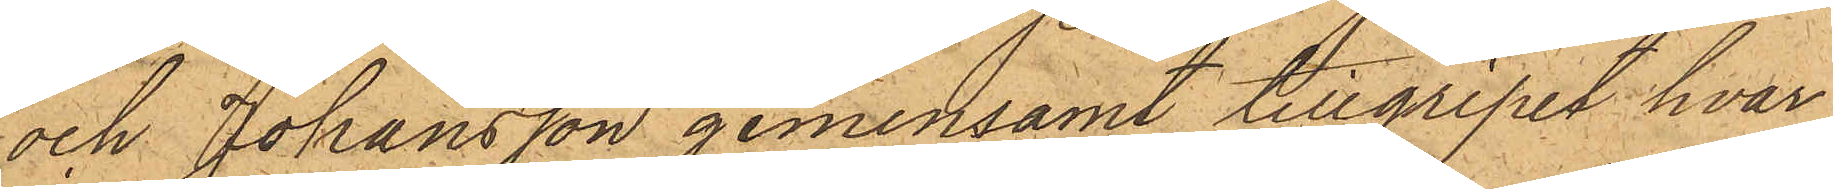och Johansson gemensamt tillgripit hvar
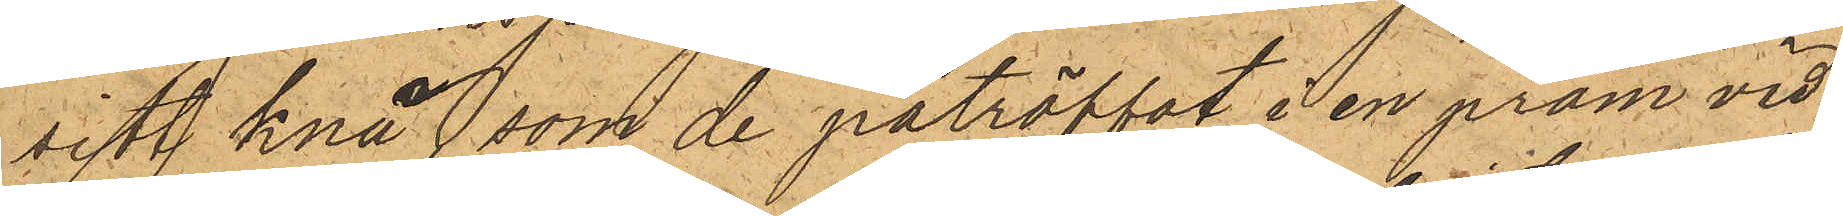sitt knä som de påträffat i en pråm vid
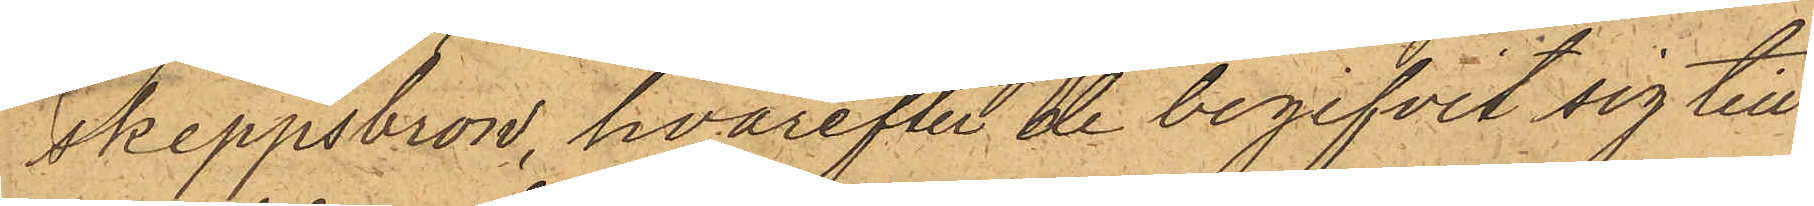Skeppsbron, hvarefter de begifvit sig till
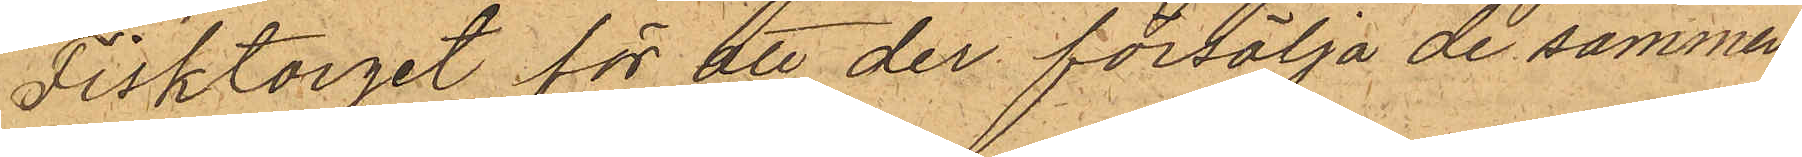Fisktorget för att der försälja desamma
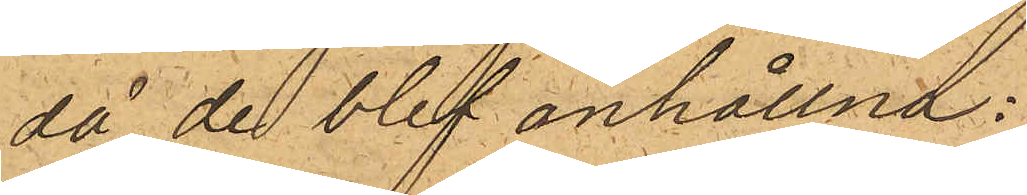då de blef anhållna:
